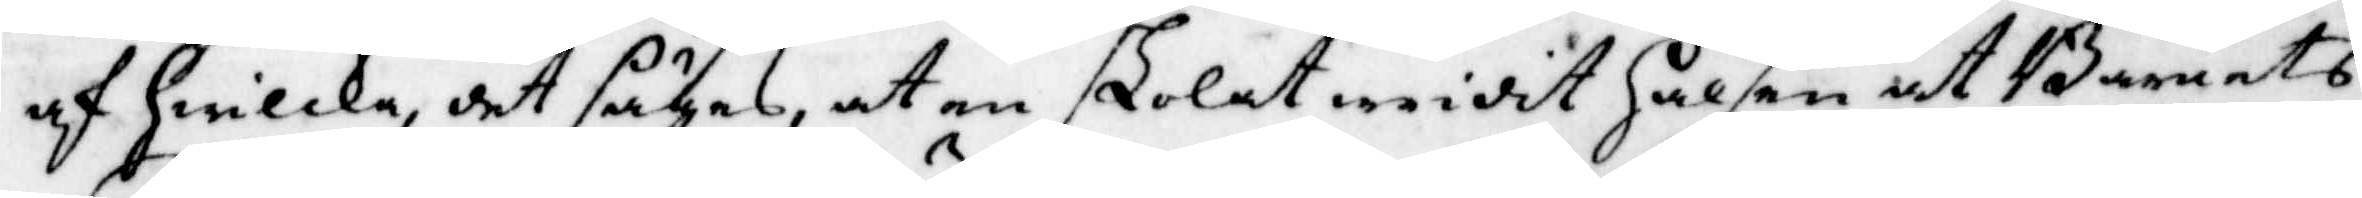af hwilka, det sägas, at en skolat wridit Halsen at Barnets
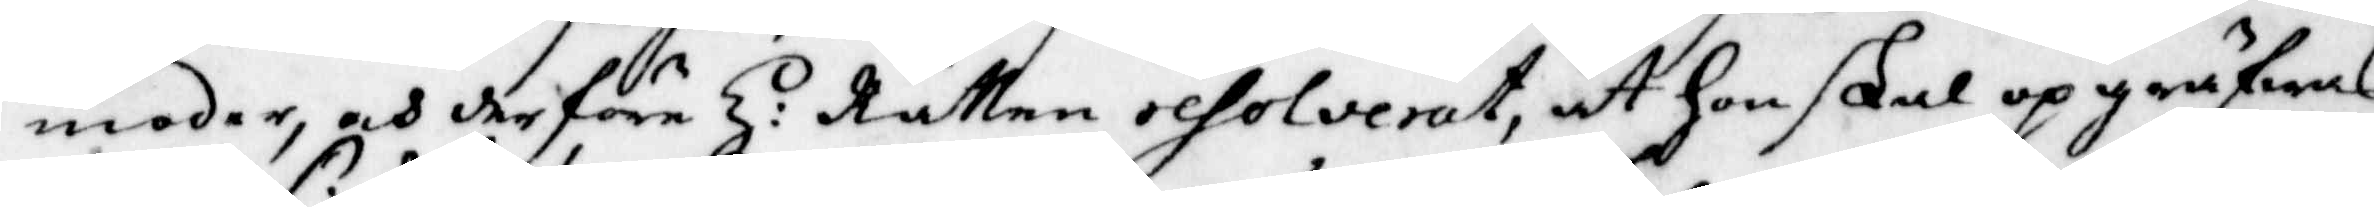moder, och derföre H: Rätten resolverat, att hon skal op gräfwas
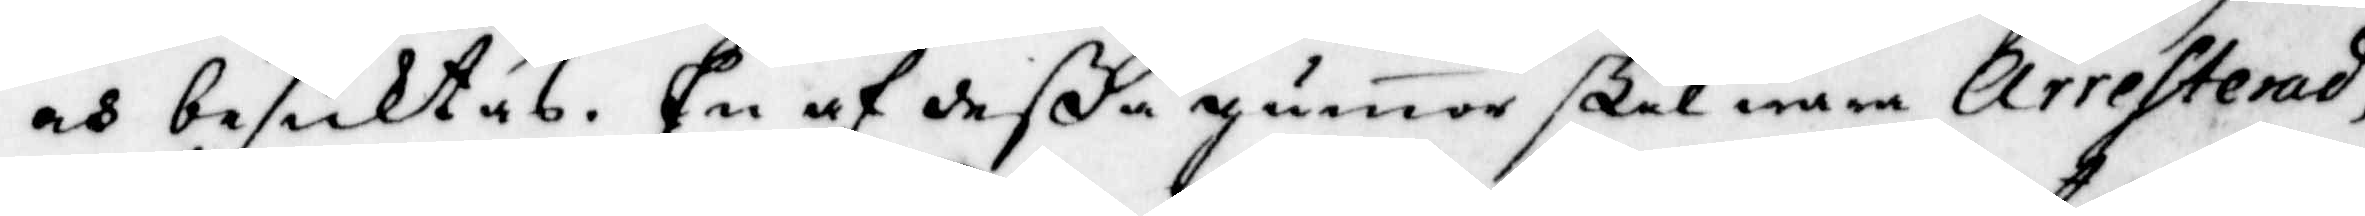och besiktas. En af deße gumor skal wara arresterad,
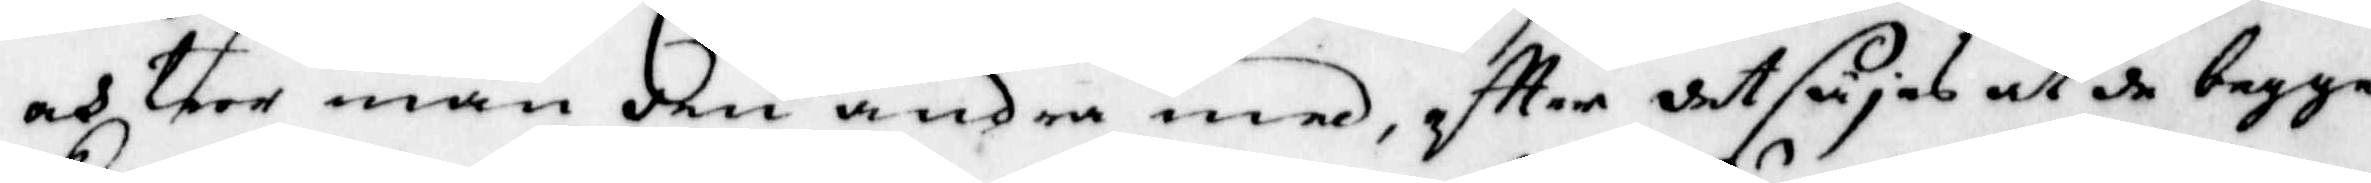och tror man den andra med, eftter det säjas at de begge
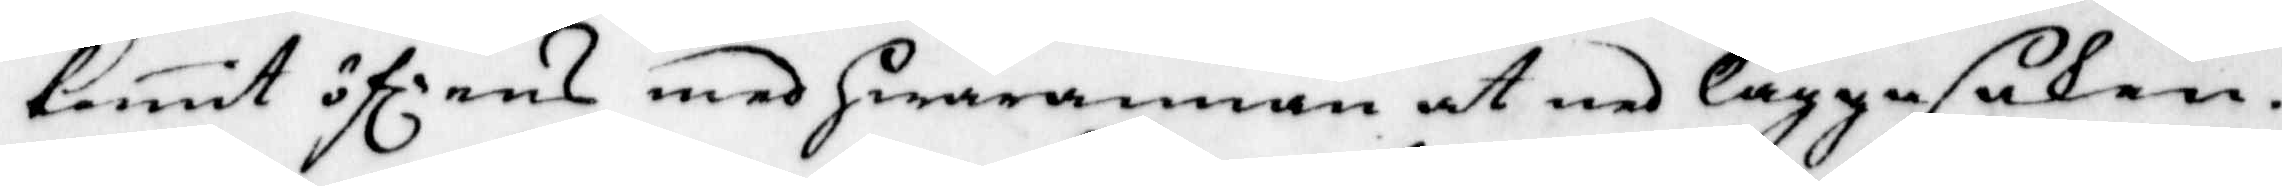komit öf:rens med hwarannan at ned lägga saken.
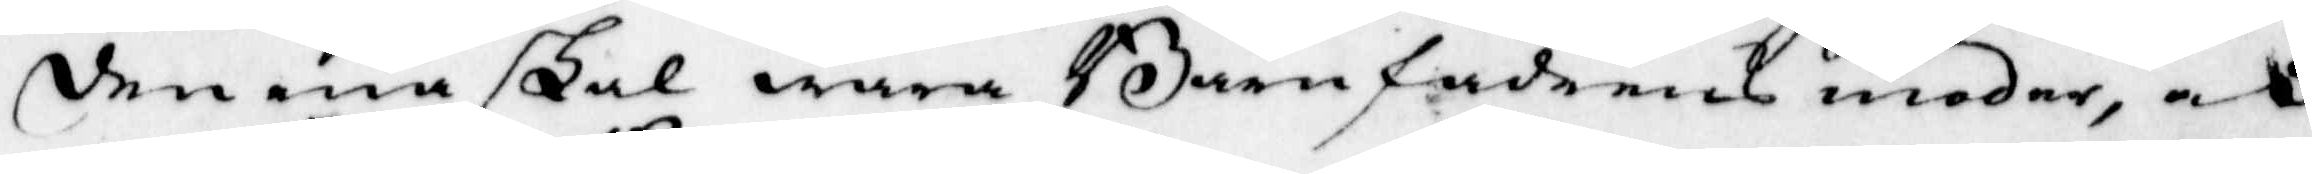Den ena skal wara Barnfadernes moder, och
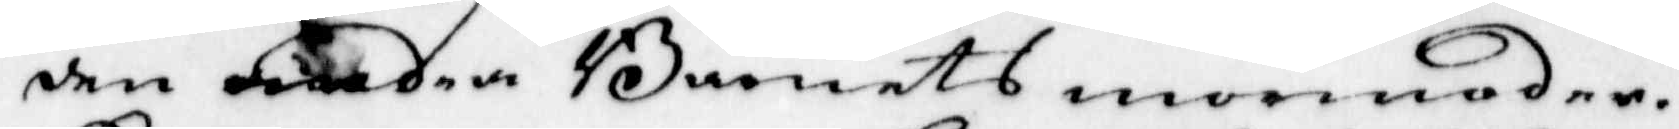den andra Barnets mormoder.
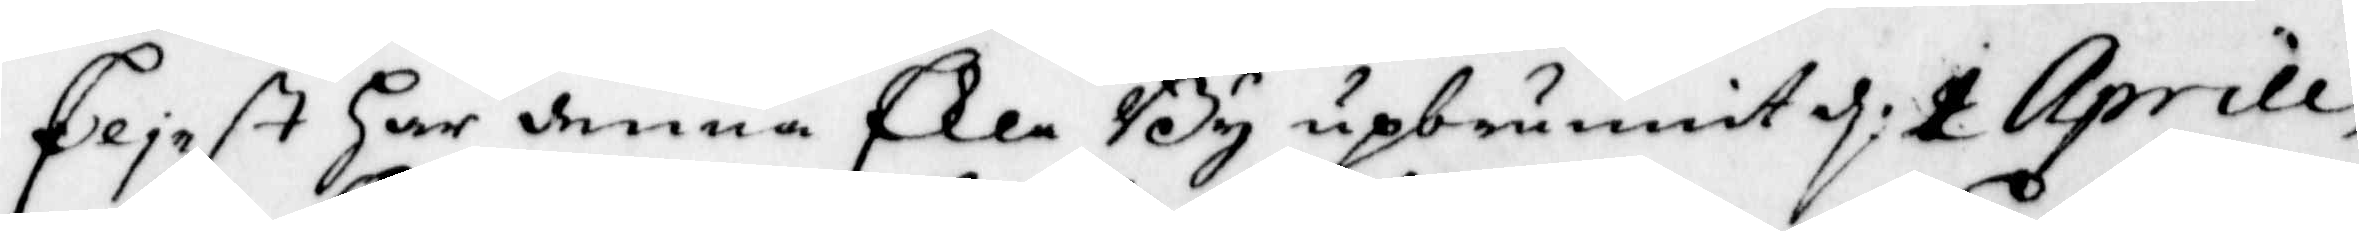Eliest Har denna Ekla By upbrunnit d. 1 Aprill,
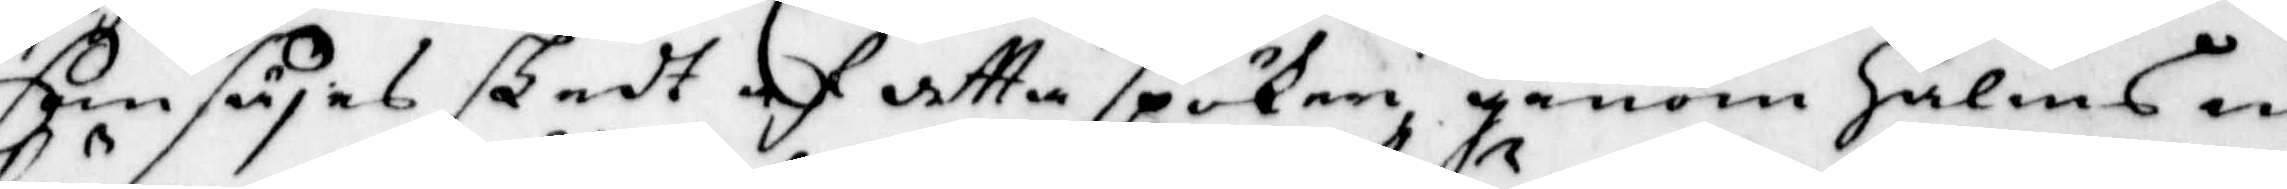som säjes skedt af detta spökeri genom Halms in¬
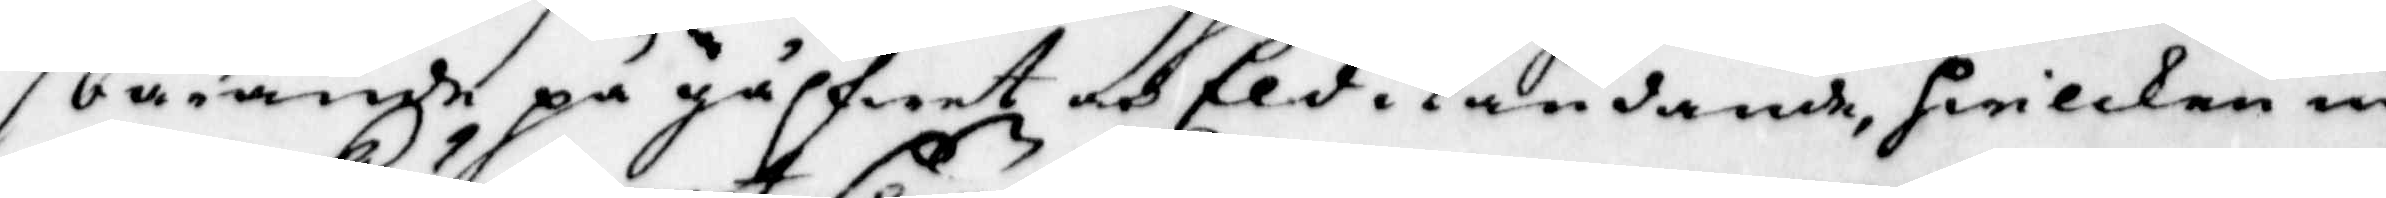bärandhe på gålfwet och Eld i tändande, hwilken in¬
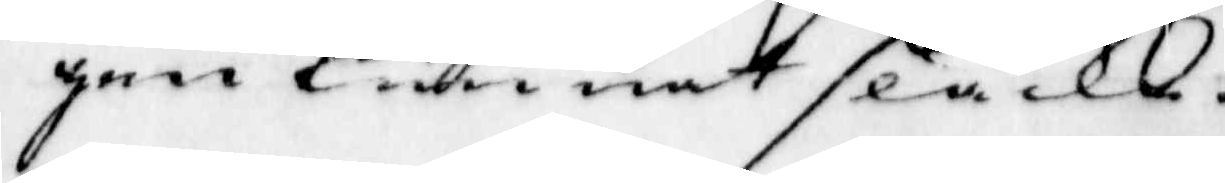gen kunnat släckt.
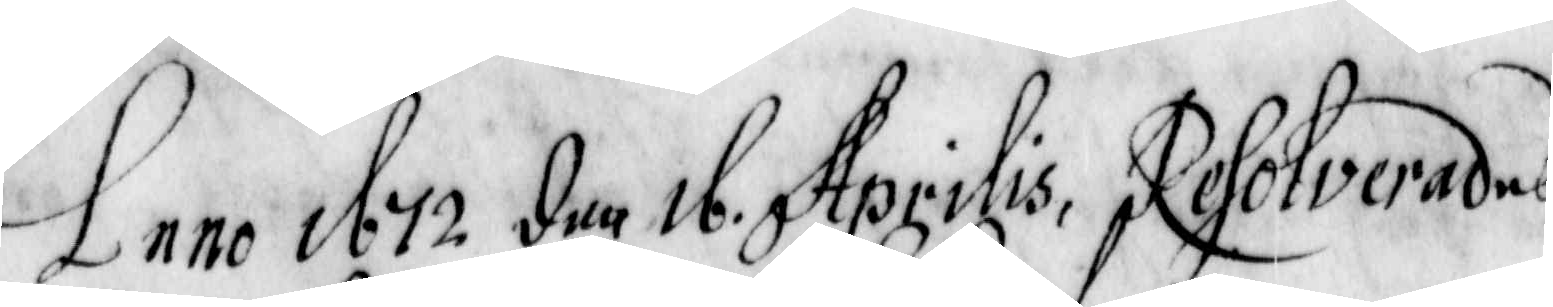Anno 1672 den 16. Aprilis, Resolverades
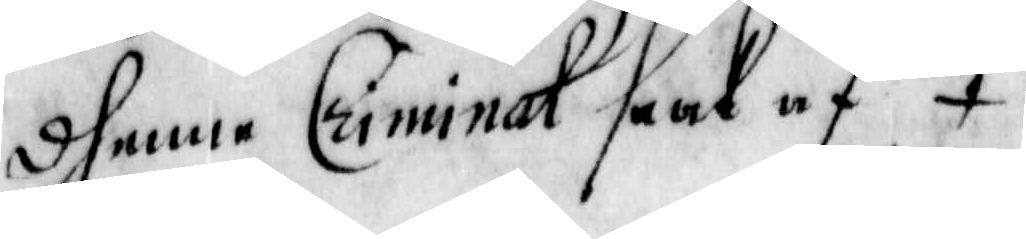dhenne Criminal Saak af
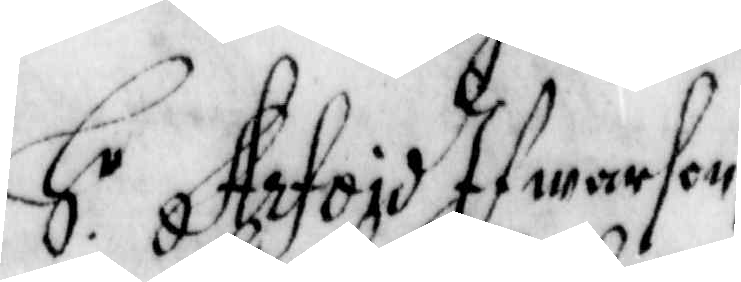H r Arfoid Ifwarson,
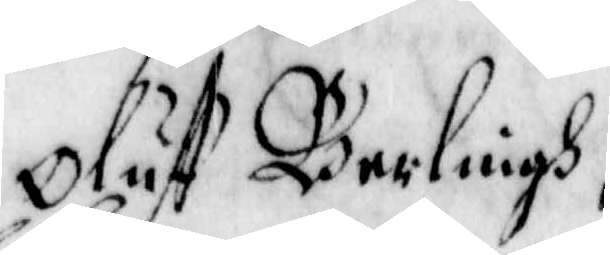Oluff Berlingh,
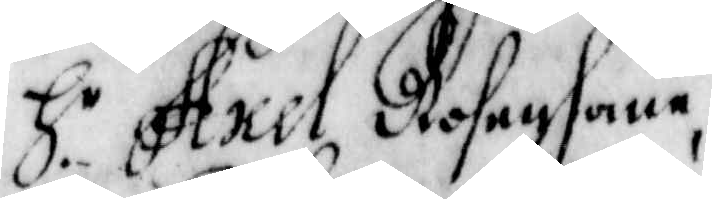H r Axel Rosenhane,
